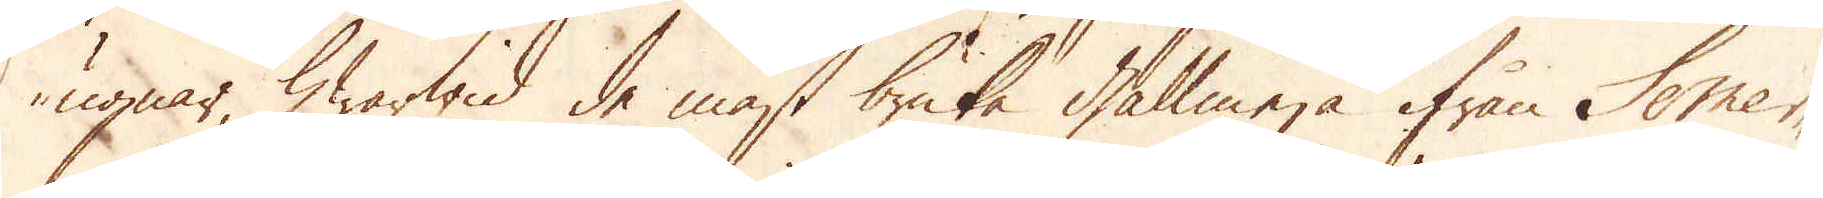ugnar, hwarwid de mäst bruka gallmera ifrån Somer-
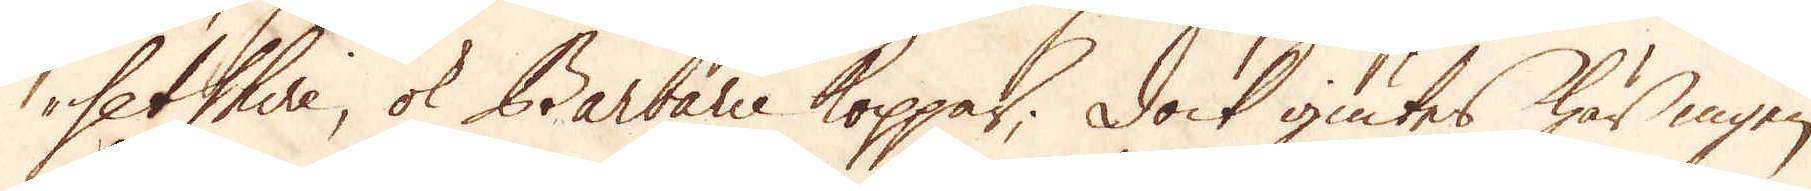setshire; ok Barbarie koppar; Dock giutes här ingen
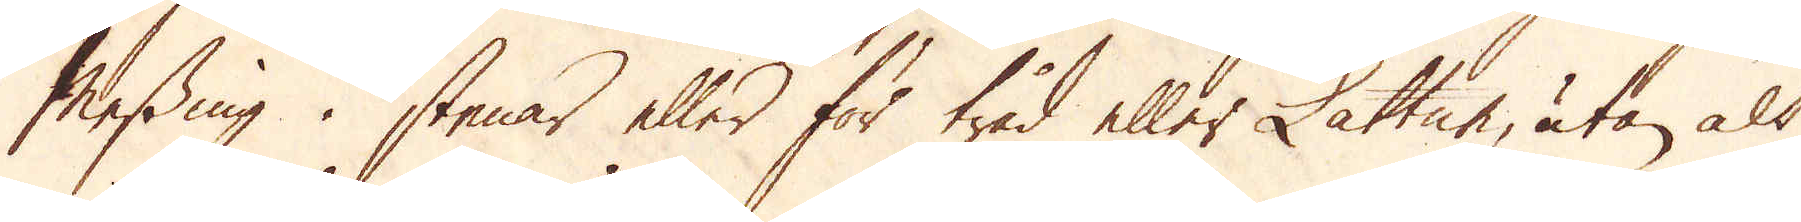Messing i stenar eller för tråd eller Lattun, utan alt
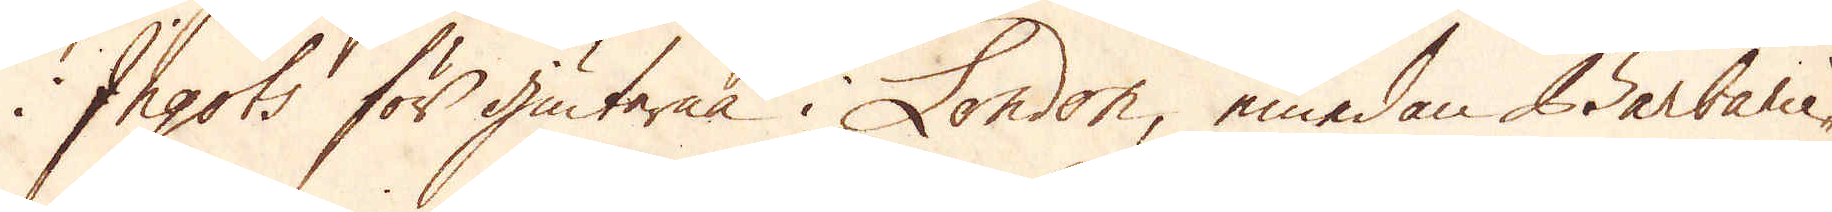i Ingots för giuterna i London, emedan Barbardie-
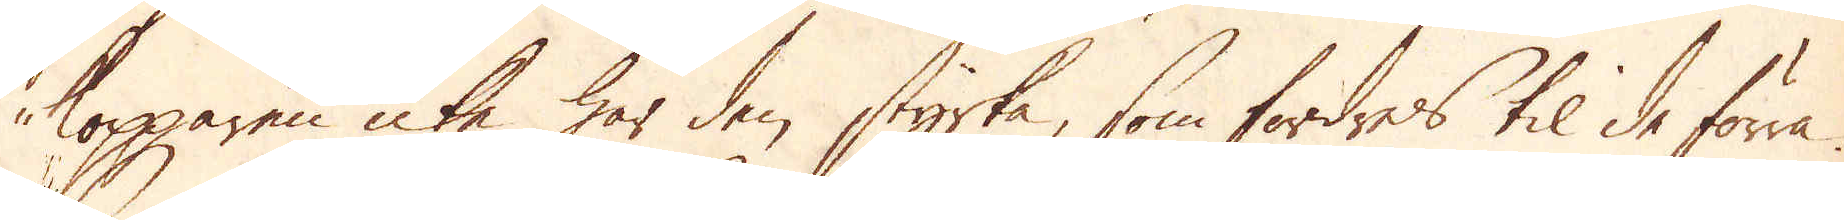kopparen icke har den styrka, som fordres til de förra.
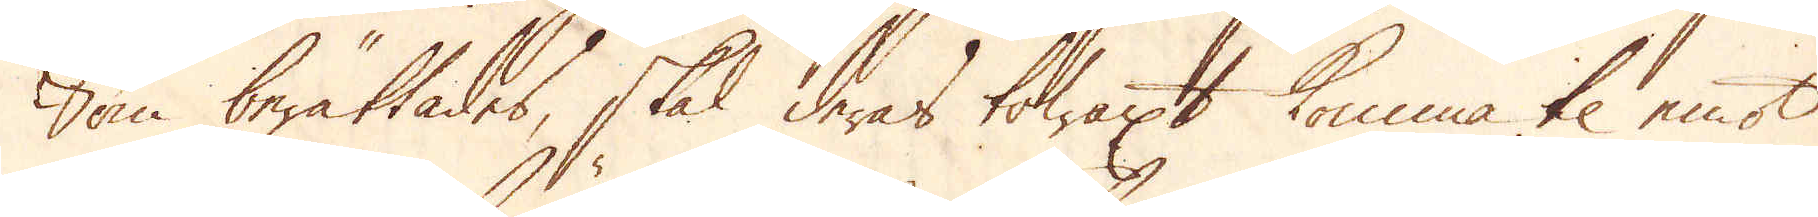Som berättades, skal deras towaxt komma til emot
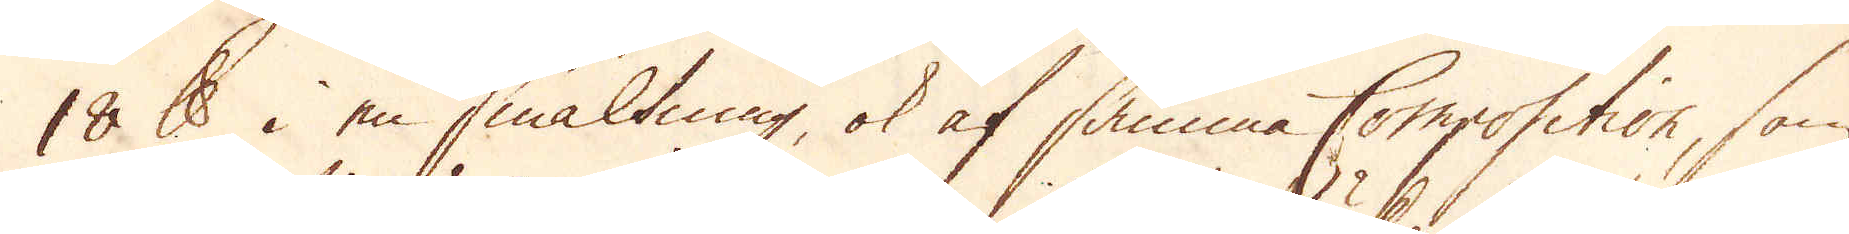18 skålpund i en smältning, ok af samma Composition, som
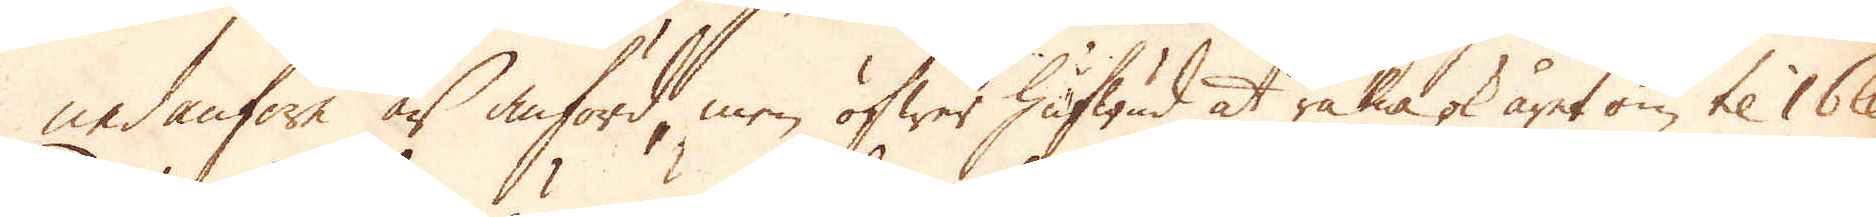nedanföre är anförd, men öfwer hufwud at räkna ok året om til 16 skålpund.
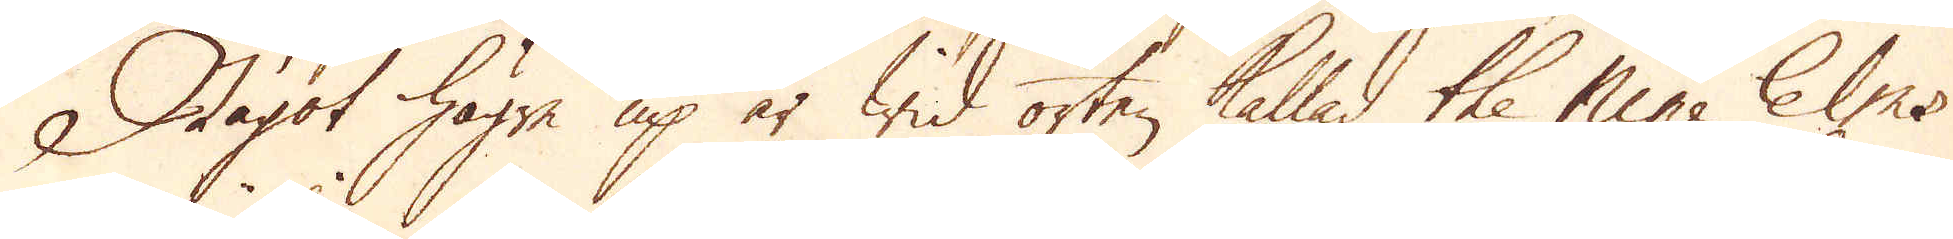Något högre up är wid orten kallad the Mine Elms
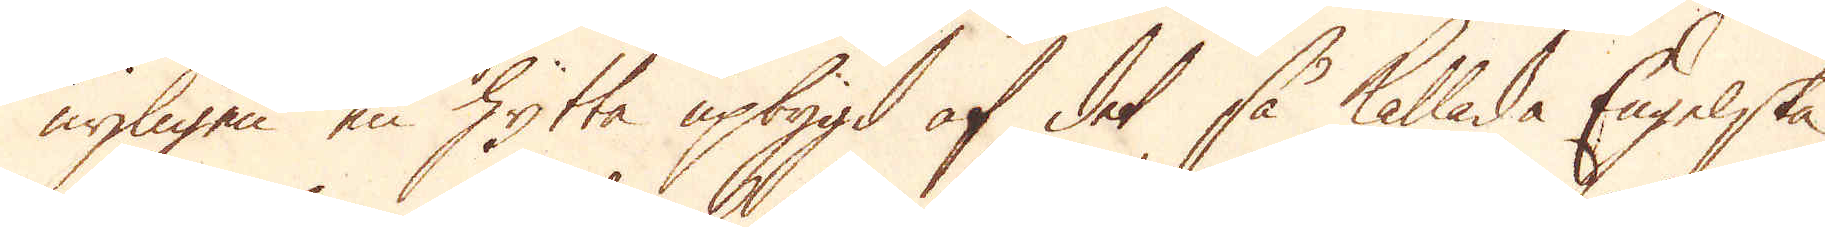nyligen en hytta upbygd af det så kallade Engelske
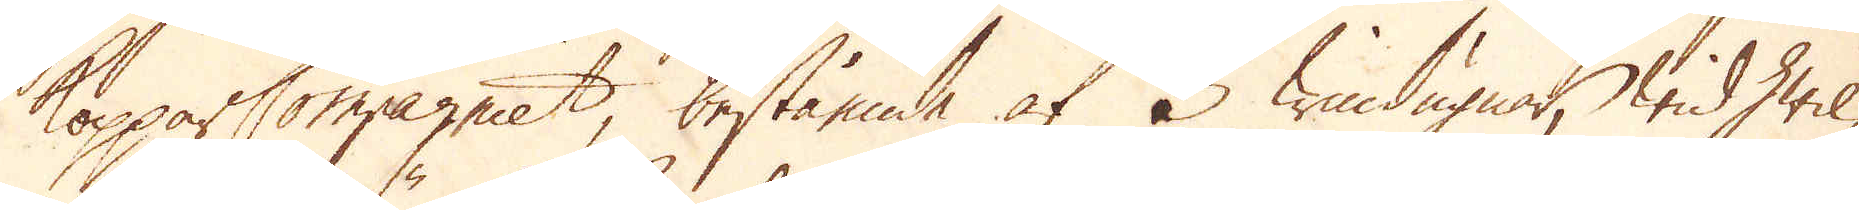Koppar Compagniet, bestående af 3 windugnar, wid hwil-
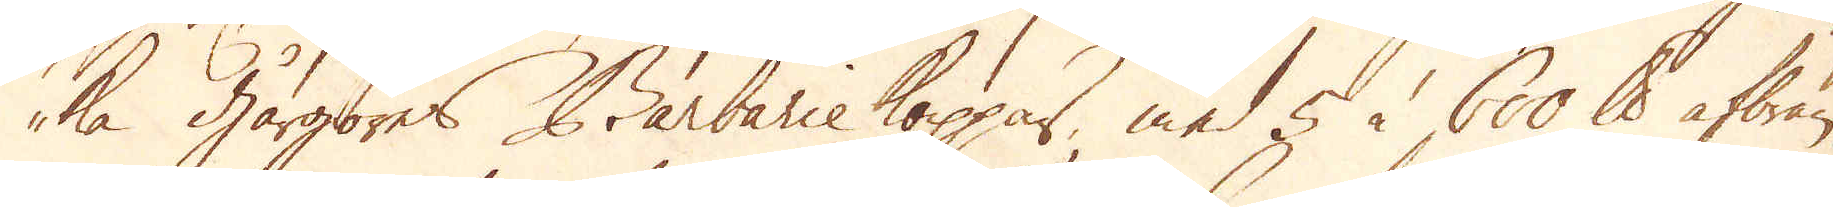ka gårgöres Barbarie koppar, med 5 à 600 skålpund afbrän-
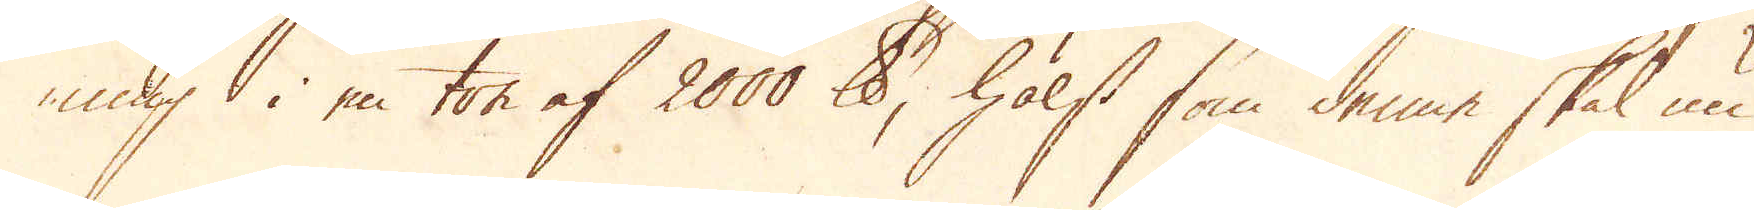ning i en ton af 2000 skålpund, hälst som denne skal nu
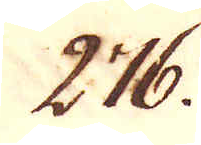276.
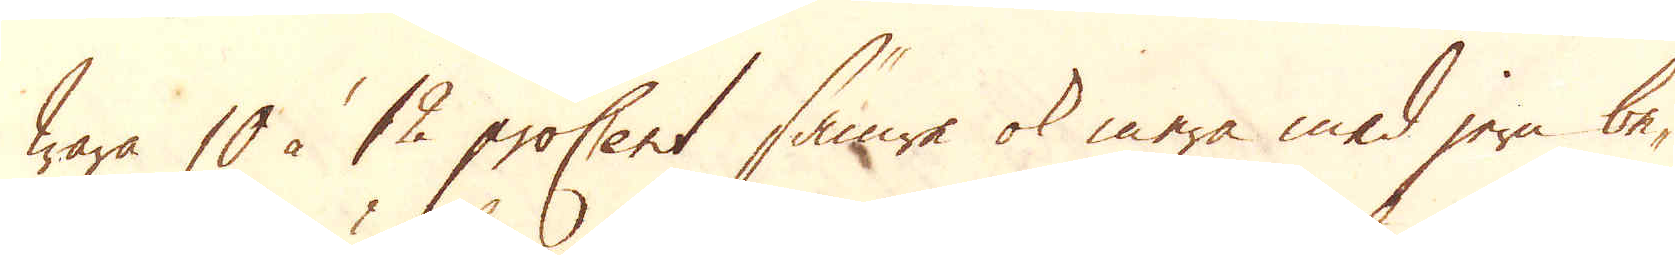wara 10 à 12 proCent sämre ok mera med jern be-
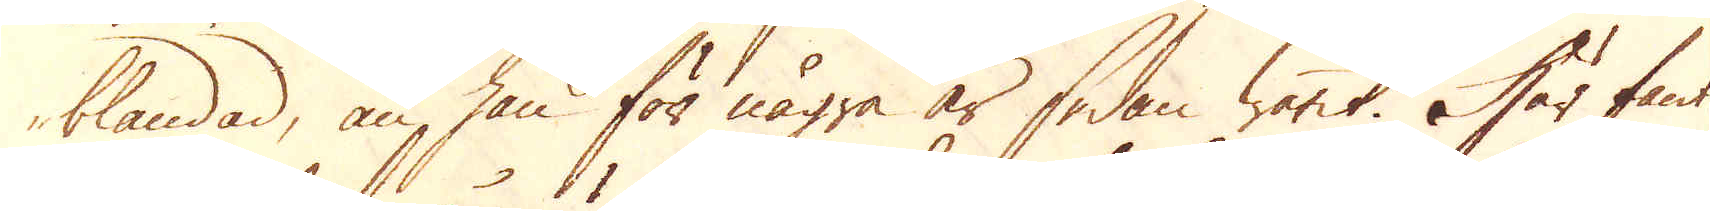blandad, än han för några år sedan warit. Här fant
